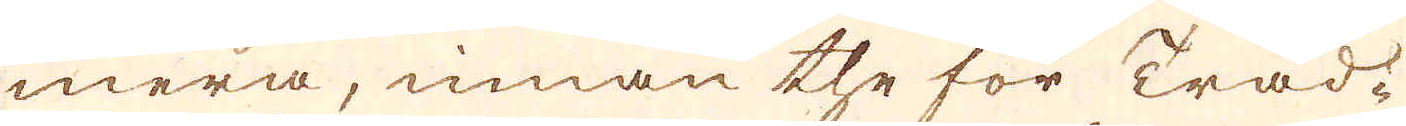mera, innan the för Tråd-
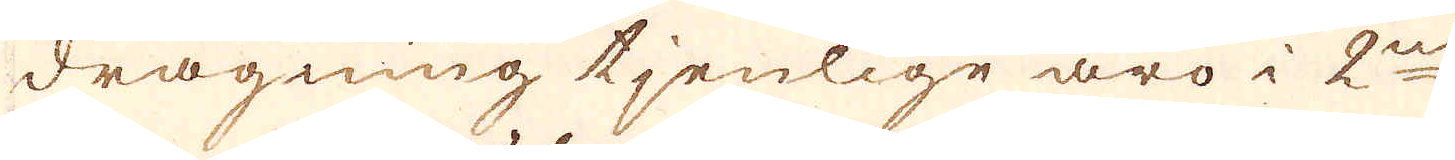dragning tjenlige äro i 2ne
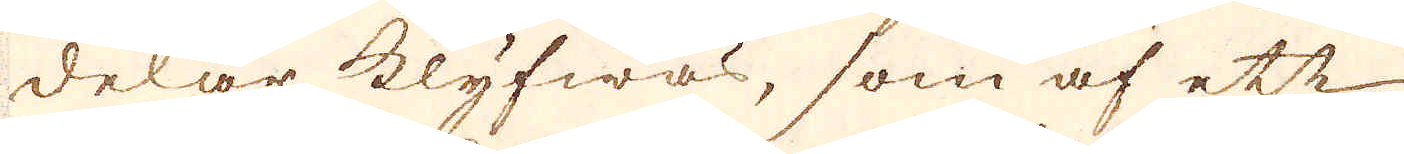delar klyfwas, som af ett
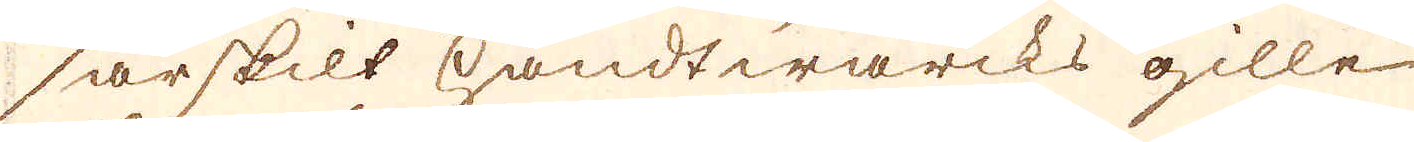särskilt handtwärcks gille
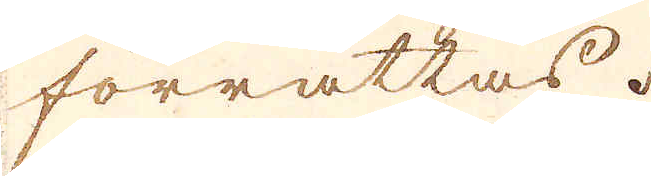förrättas.
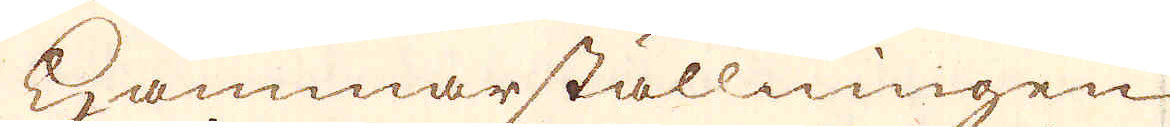Hammarställningen
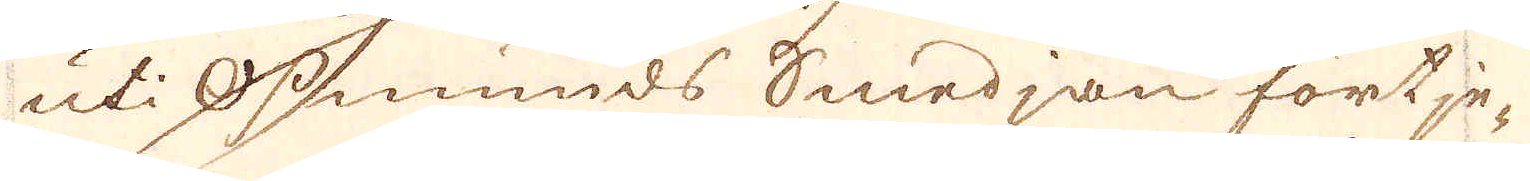uti Osmunds Smedjan fortje-
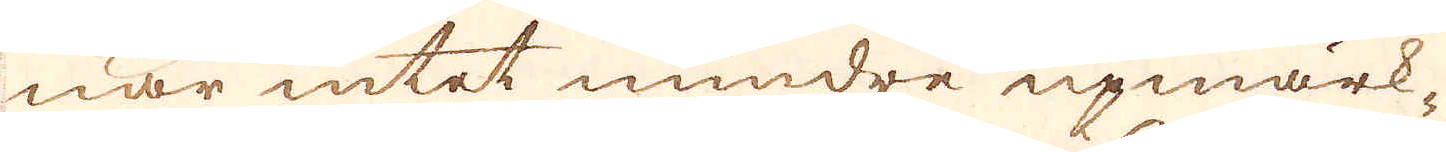nar intet mindre upmärk-
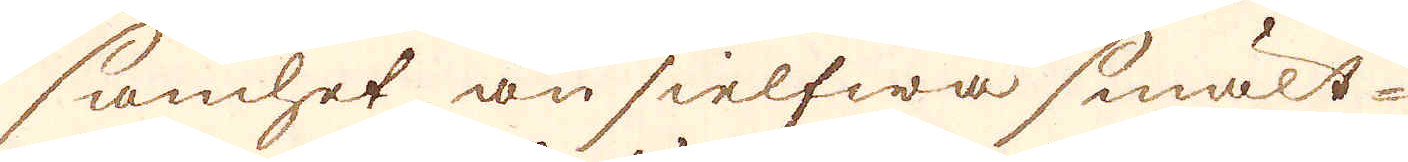samhet än sielfwa smält-
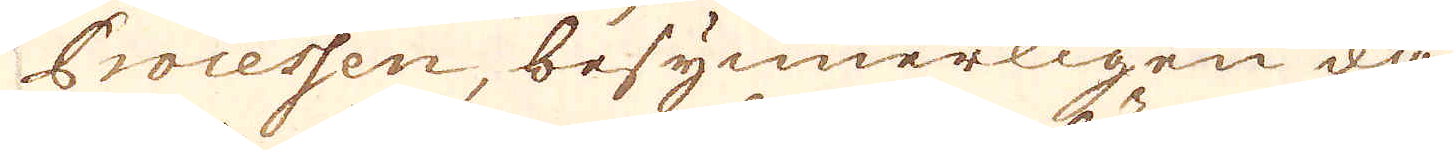Processen, besynnerligen då
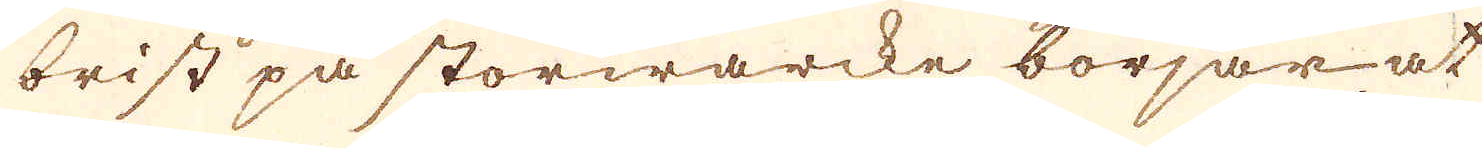brist på storwärcke börjar at
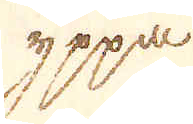yppa
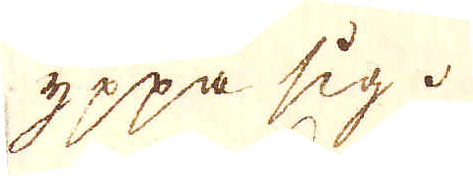yppa sig.
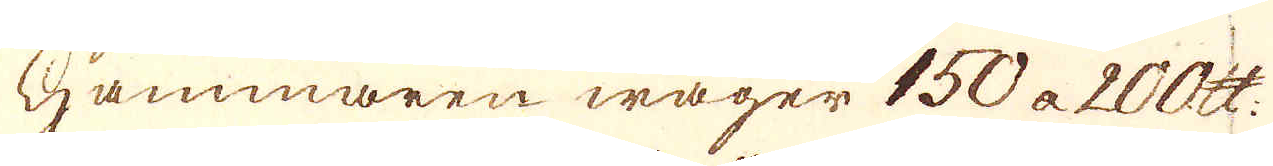Hammaren wäger 150 a 200 skålpund.
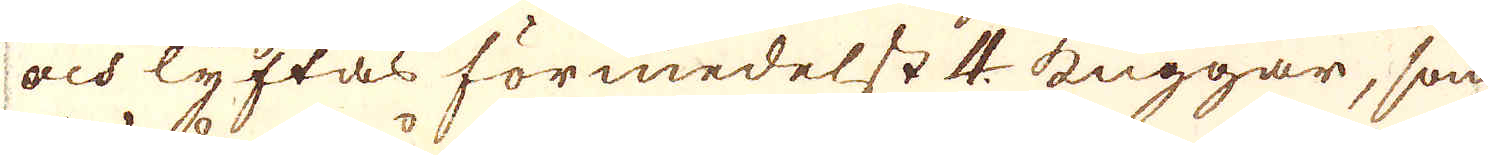och lyftas förmedelst 4. kuggar, som
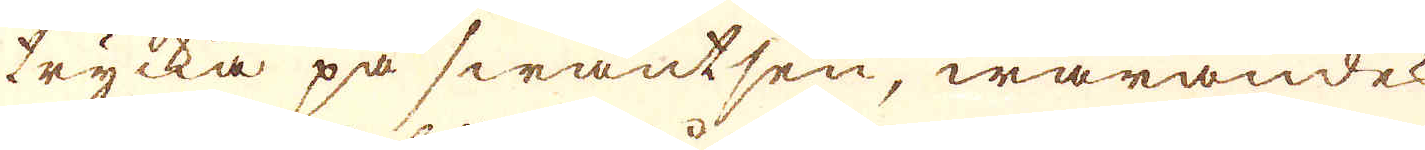trycka på swantsen, warandes
